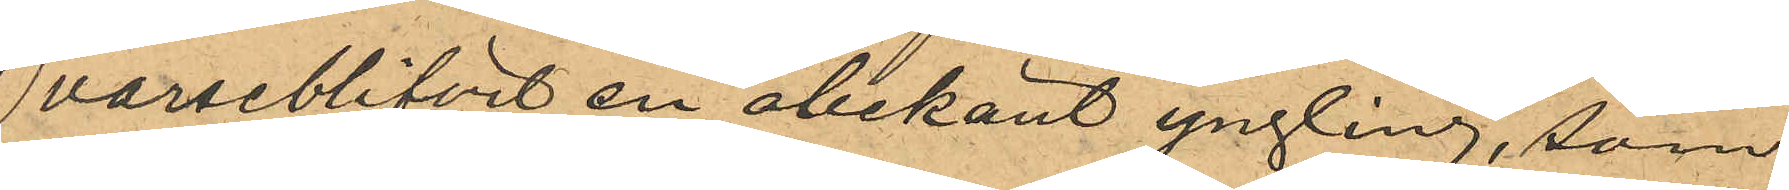varseblifvit en obekant yngling, som
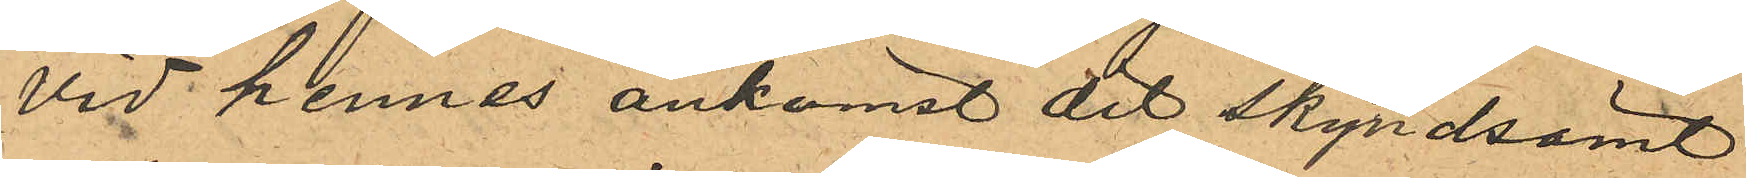vid hennes ankomst dit skyndsamt
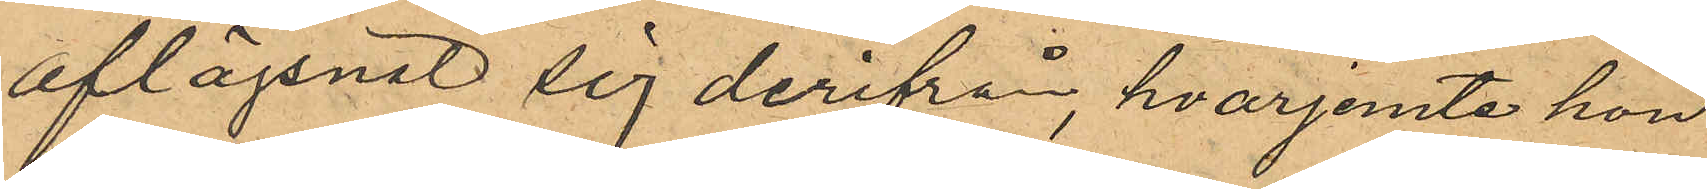aflägsnat sig derifrån, hvarjemte hon
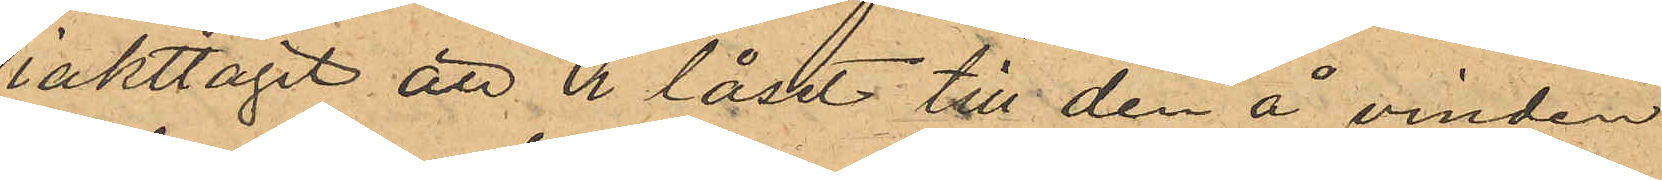iakttagit att i låset till den å vinden
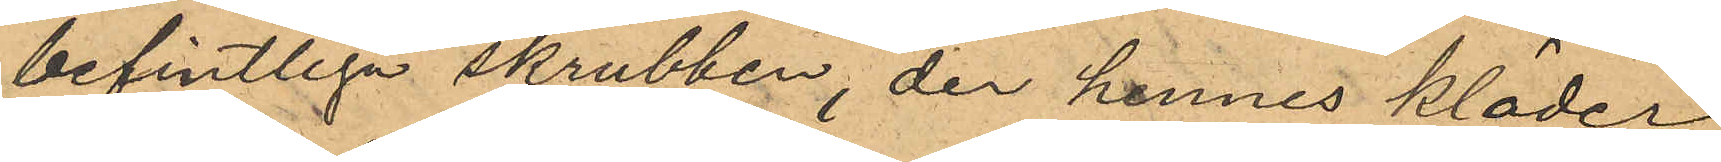befintliga skrubben, der hennes kläder
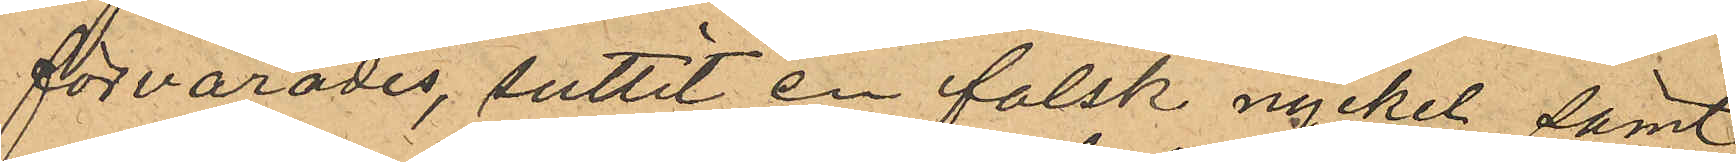förvarades, suttit en falsk nyckel samt
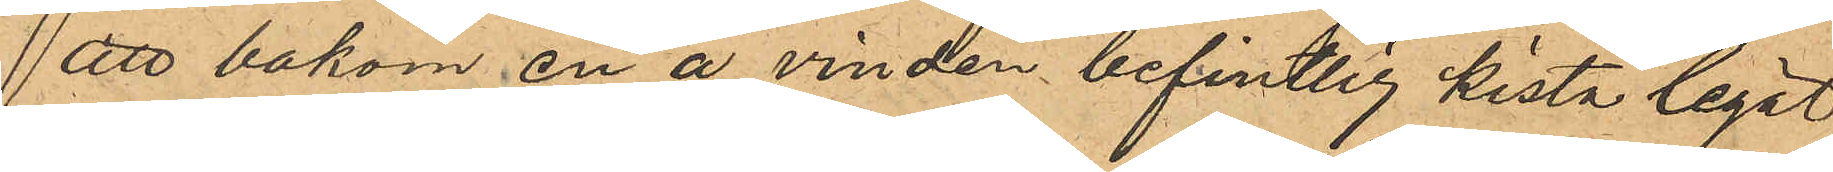att bakom en å vinden befintlig kista legat
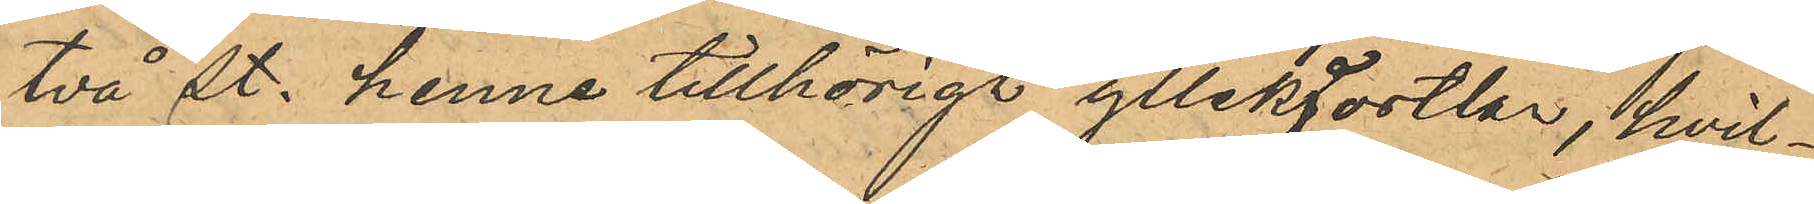två st. henne tillhöriga yllekjortlar, hvil¬
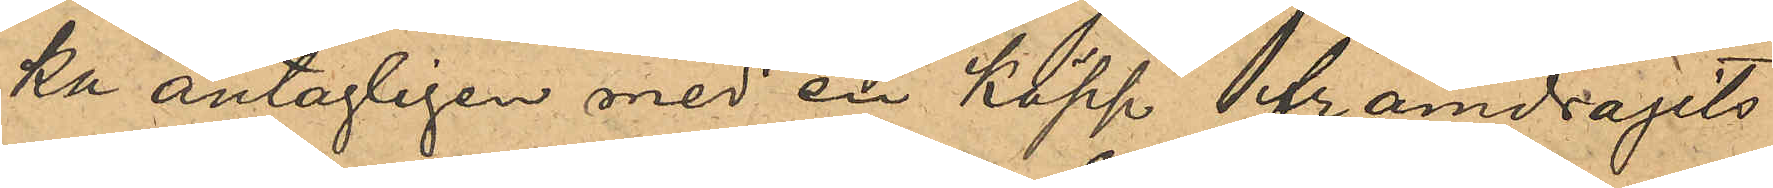ka antagligen med en käpp framdragits
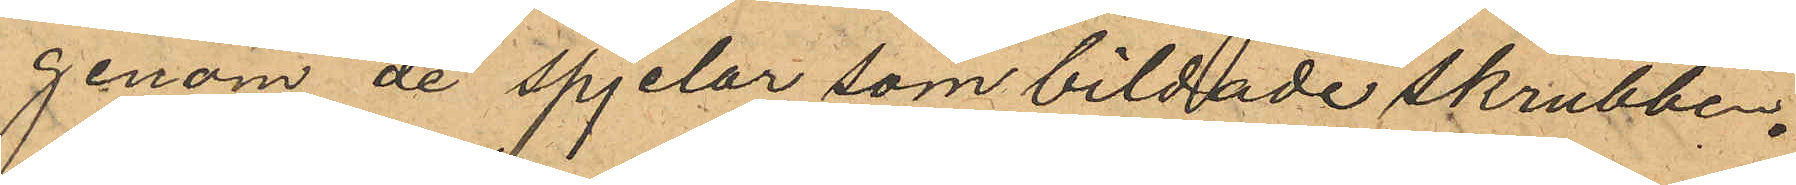genom de spjelor som bildade skrubben.
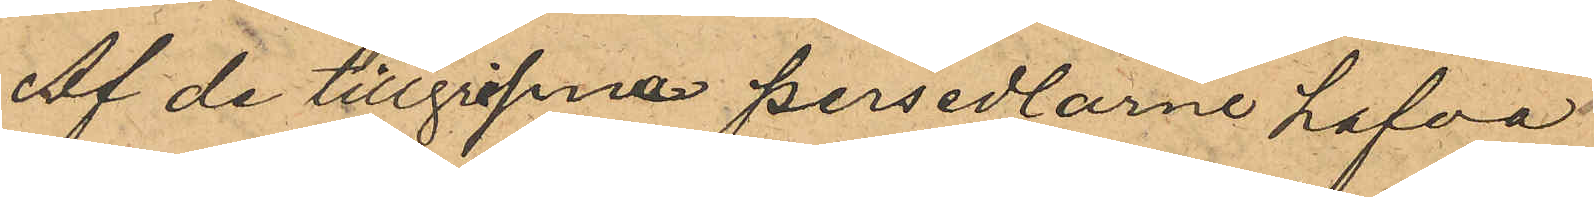Af de tillgripne persedlarne hafva
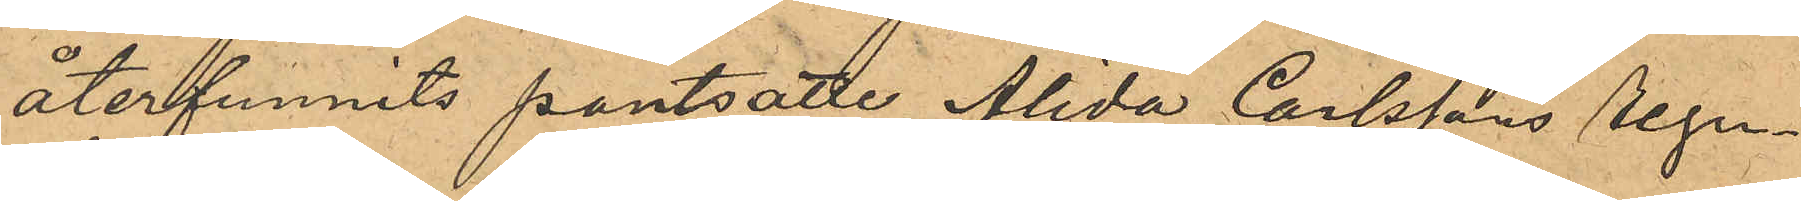återfunnits pantsatte Alida Carlssons regn¬
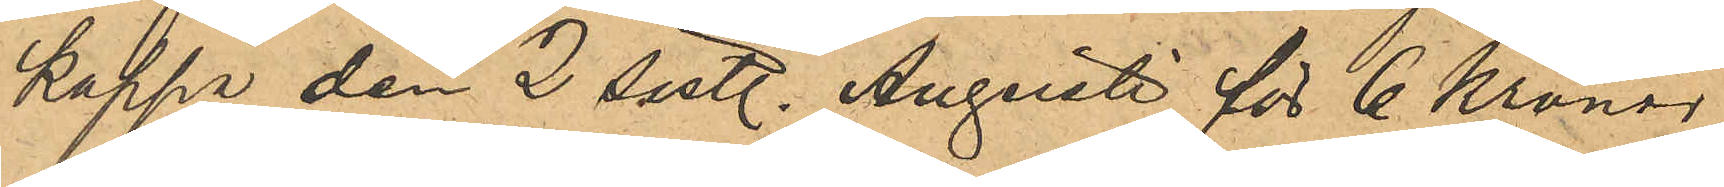kappa den 2 sistl. Augusti för 6 Kronor,
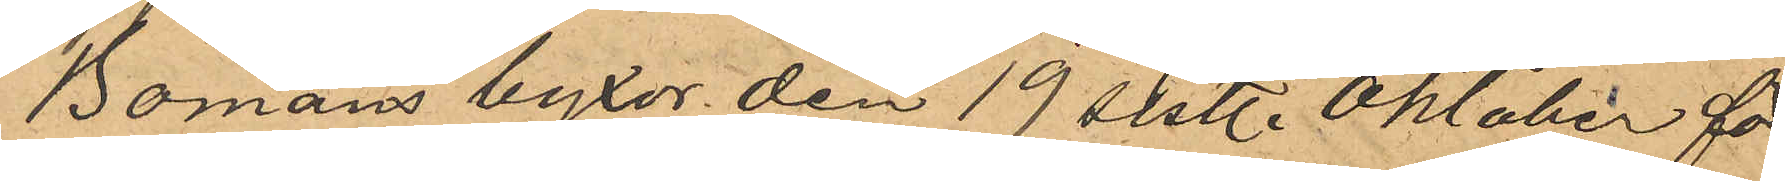Bomans byxor den 19 sistl. Oktober för
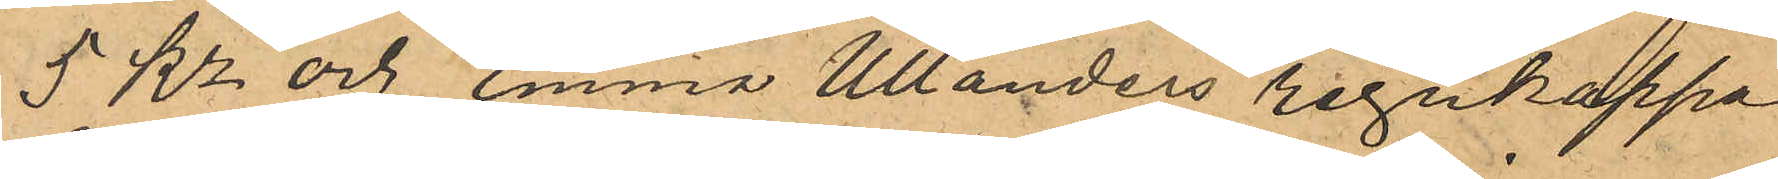5 Kr och Emma Ullanders regnkappa
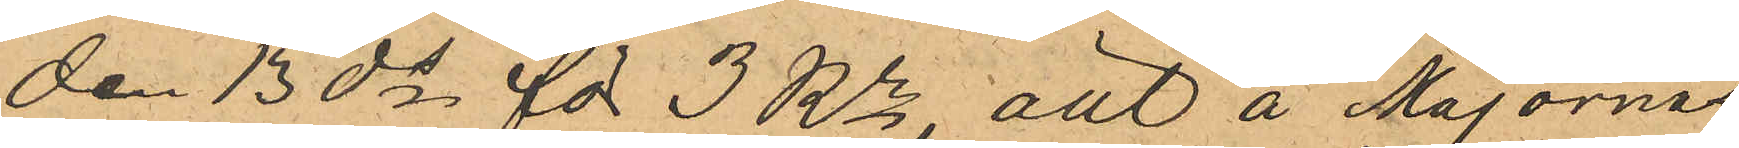den 13 ds för 3 Kr, allt å Majornas
